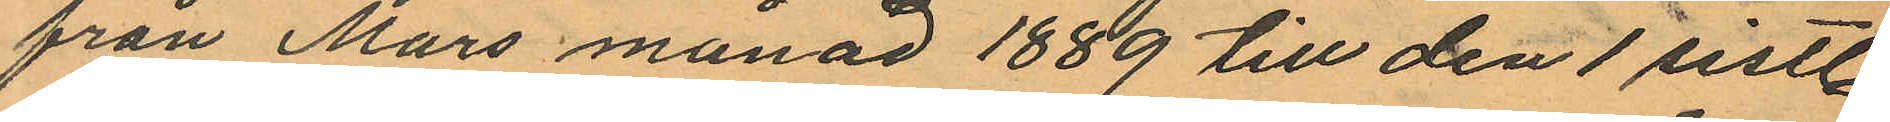från Mars månad 1889 till den 1 sistl.
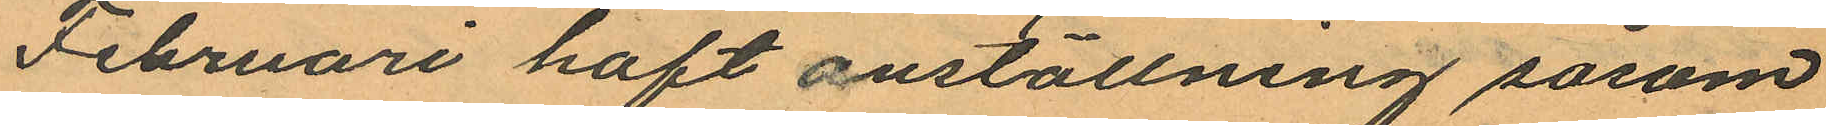Februari haft anställning såsom
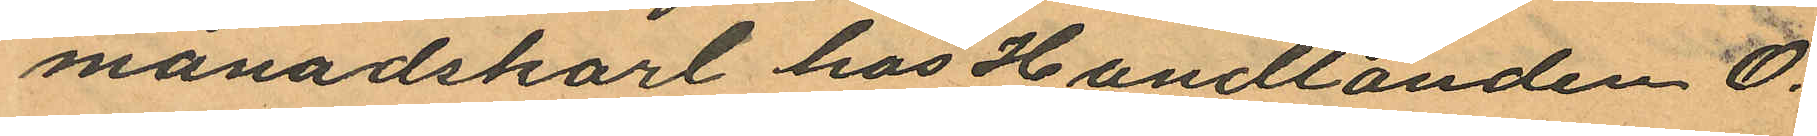månadskarl hos Handlanden O.
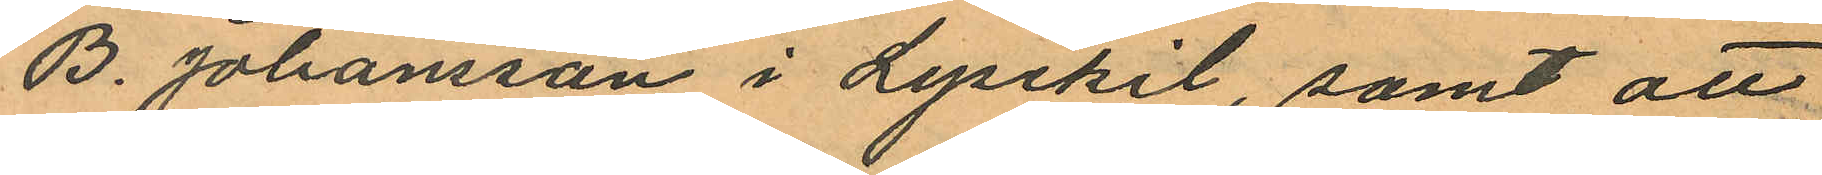B. Johansson i Lysekil, samt att
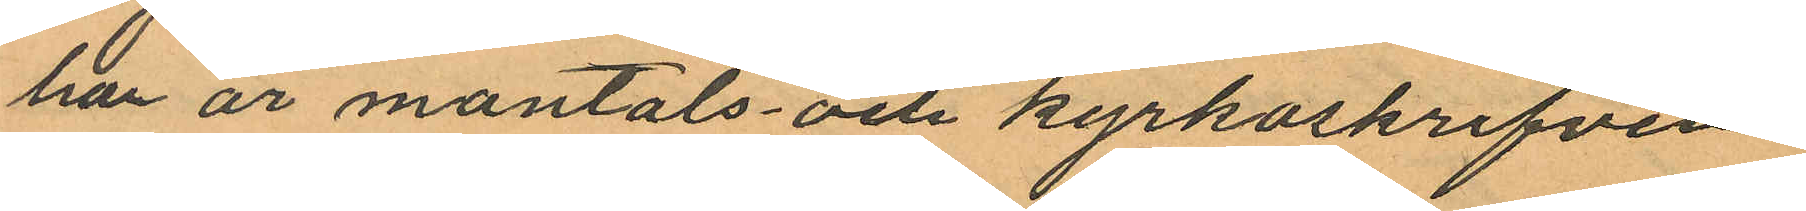har är mantals och kyrkoskrifven
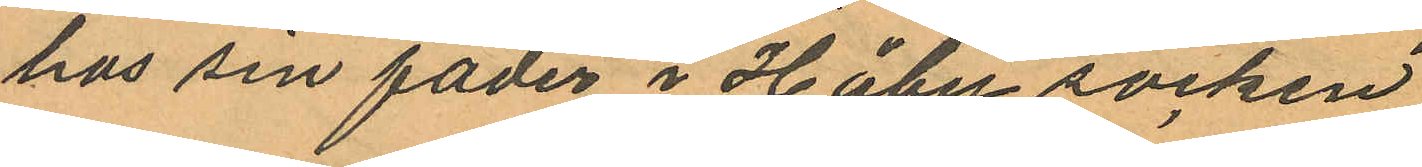hos sin fader i Håby socken
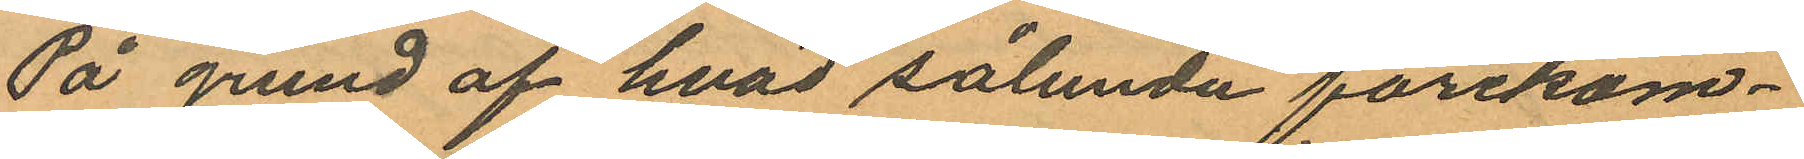På grund af hvad sålunda förekom¬
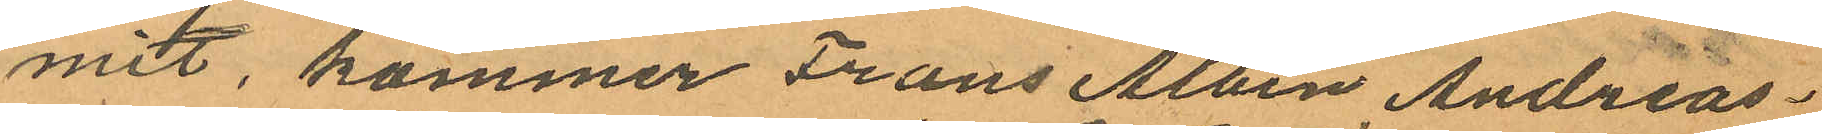mit, kommer Frans Albin Andreas¬
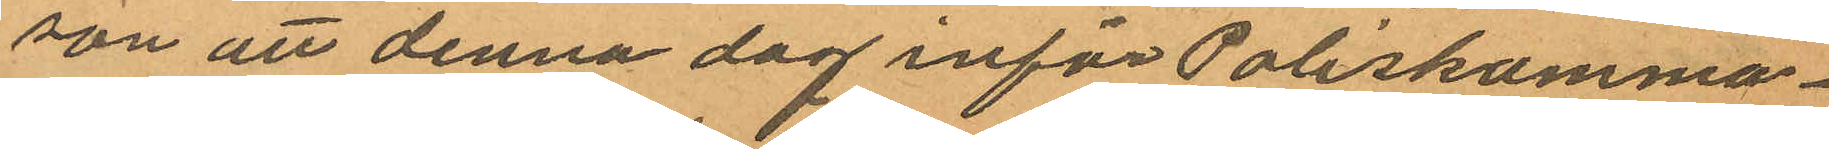son att denna dag inför Poliskamma¬
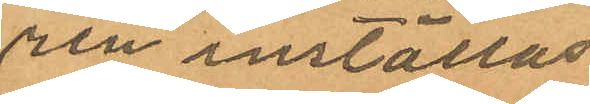ren inställas.
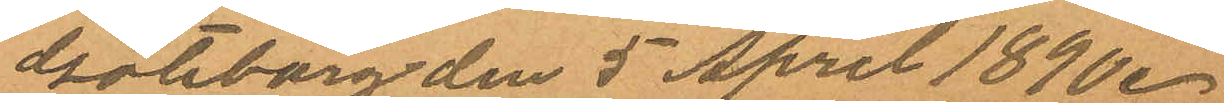Göteborg den 5 April 1890.
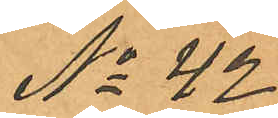No 42
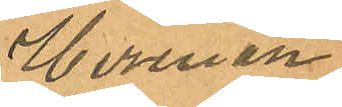Herman
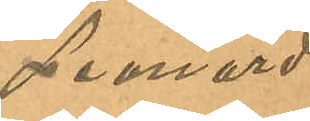Leonard
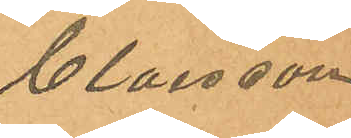Claesson
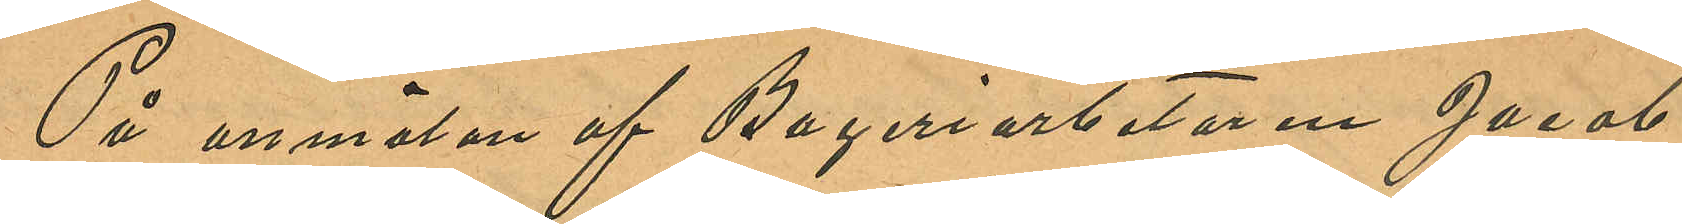På anmälan af Bageriarbetaren Jacob
